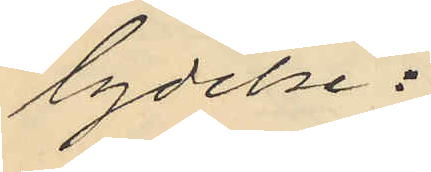lydelse:
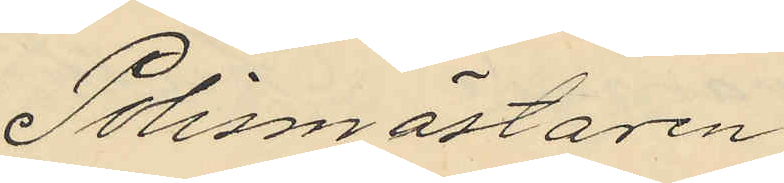Polismästaren
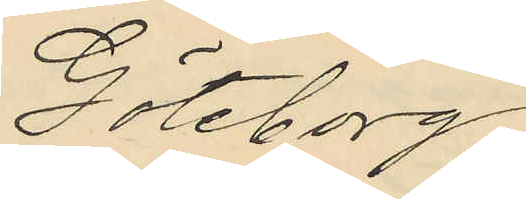Göteborg
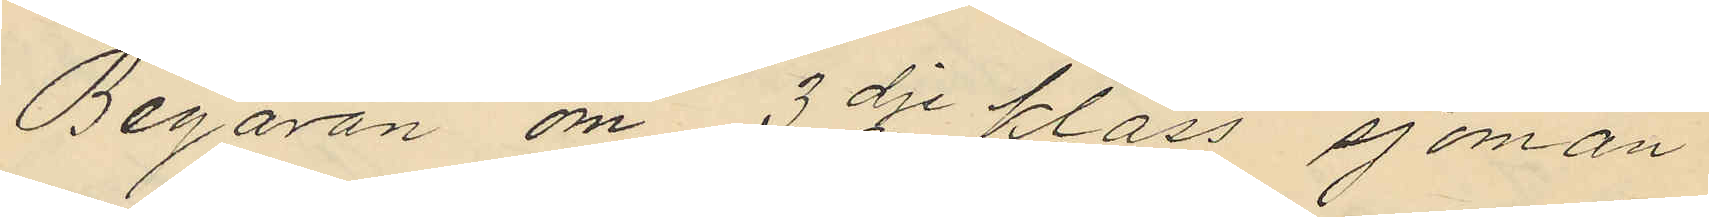Begäran om 3dje klass sjöman
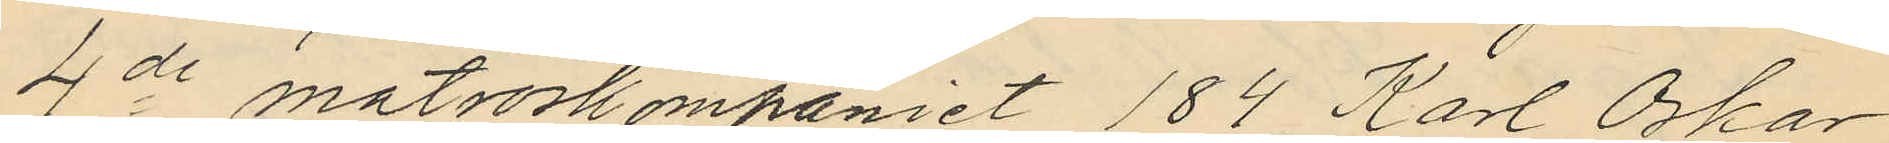4de matroskompaniet 184 Karl Oskar
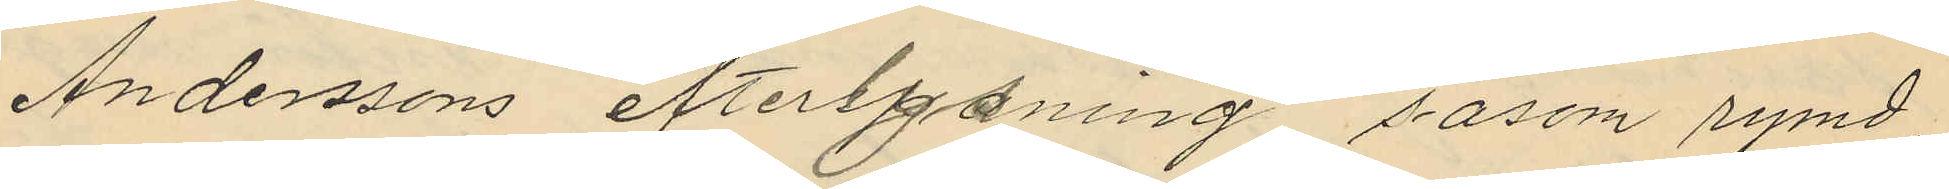Anderssons efterlysning såsom rymd,
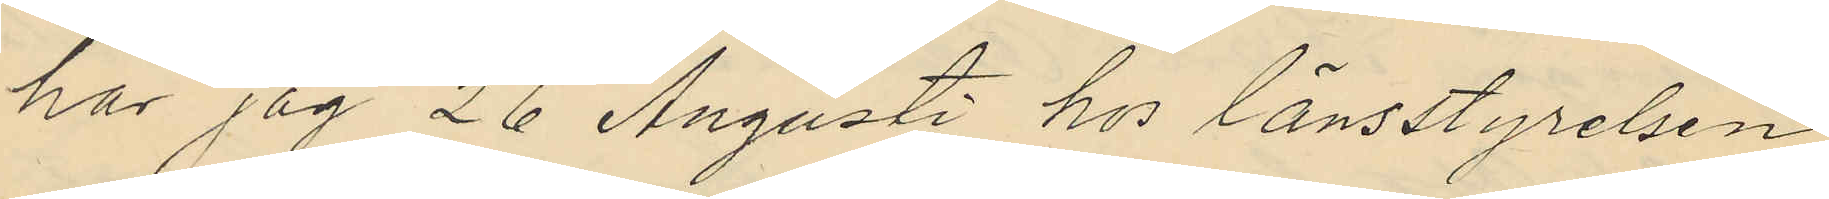har jag 26 Augusti hos länsstyrelsen
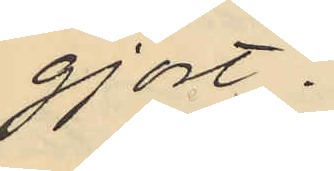gjort.
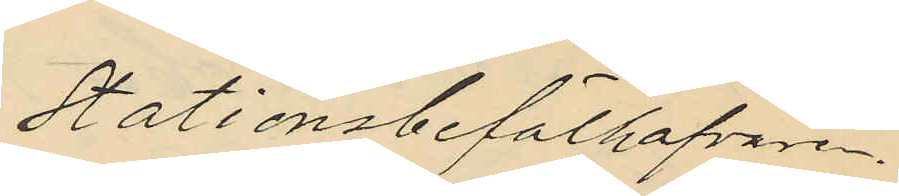Stationsbefälhafvaren.
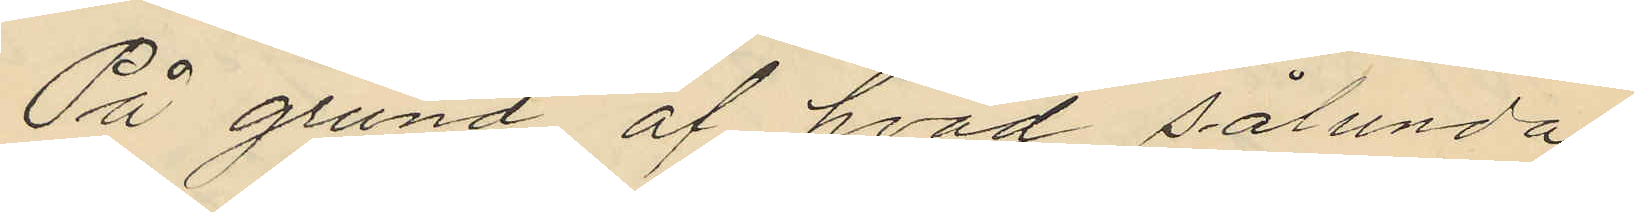På grund af hvad sålunda
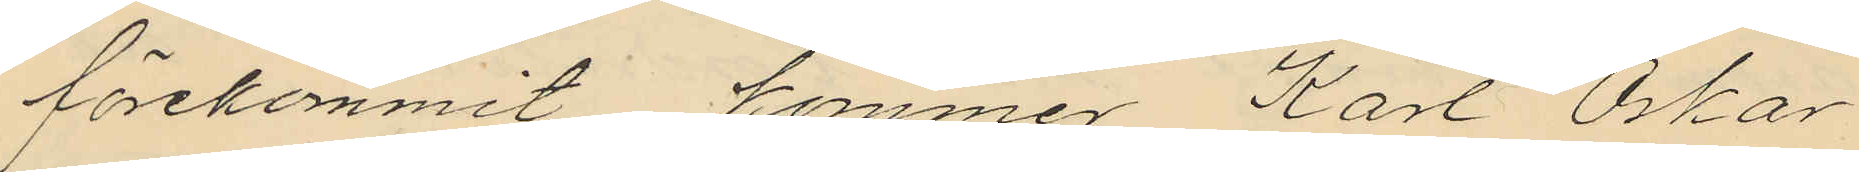förekommit kommer Karl Oskar
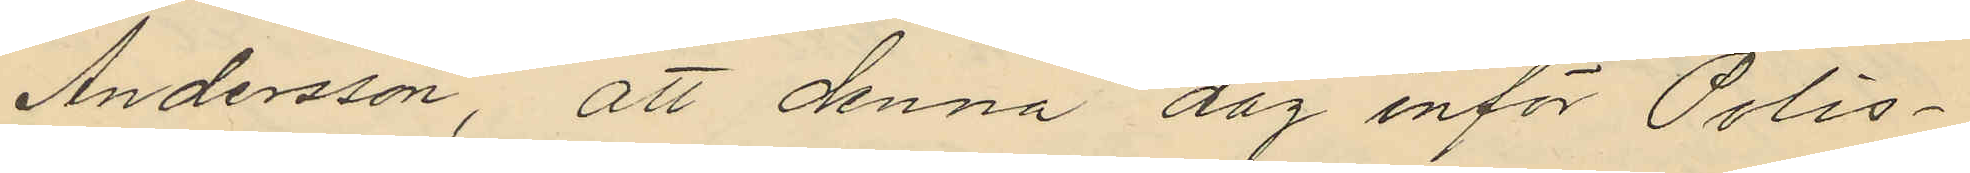Andersson, att denna dag inför Polis¬
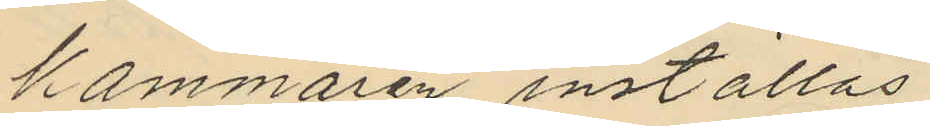kammaren inställas.
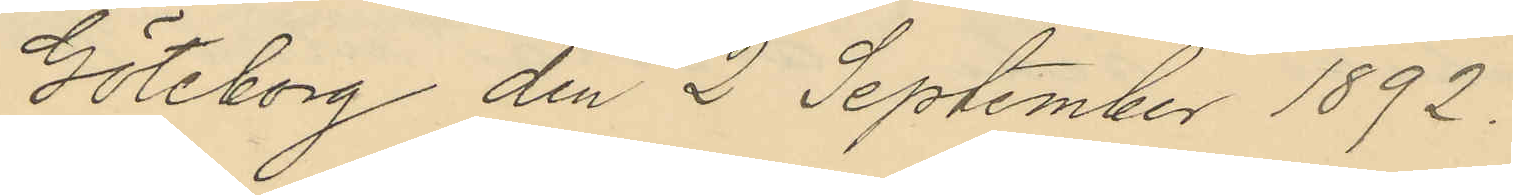Göteborg den 2 September 1892.
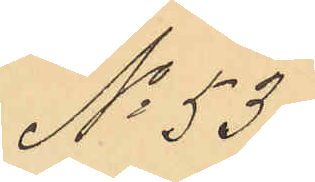No 53.
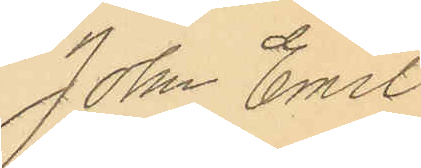John Emil
